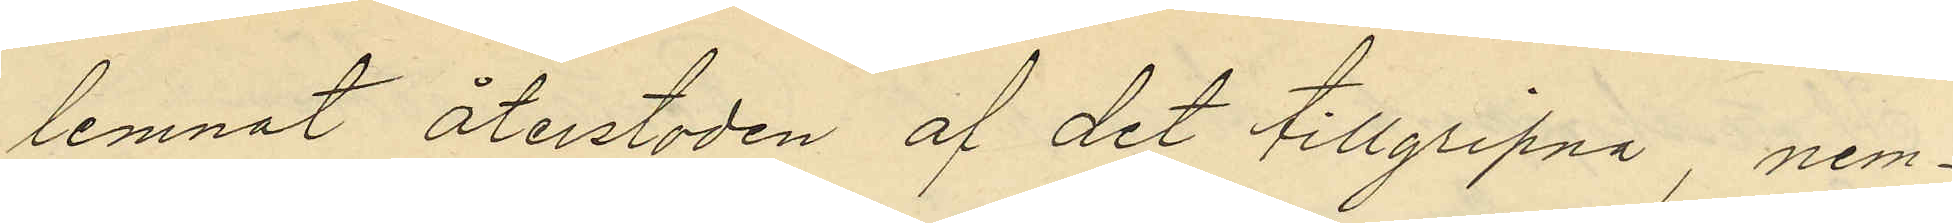lemnat återstoden af det tillgripna, nem¬
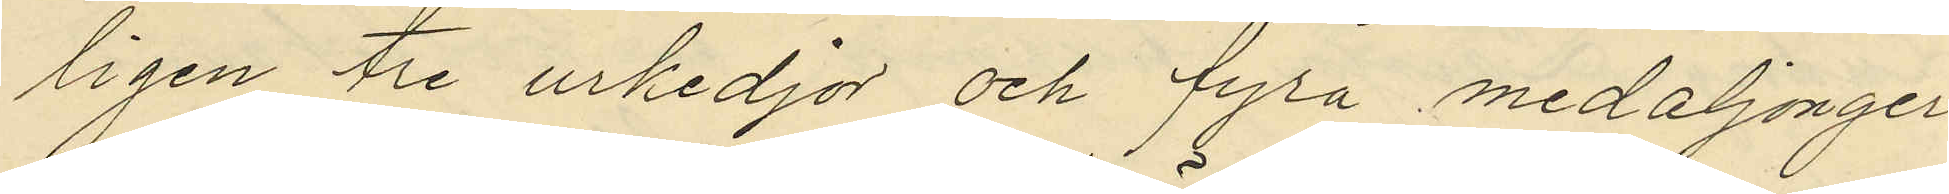ligen tre urkedjor och fyra medaljonger
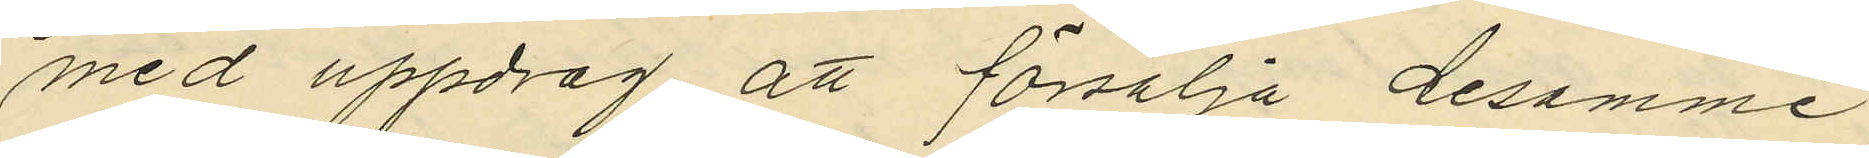med uppdrag att försälja desamme
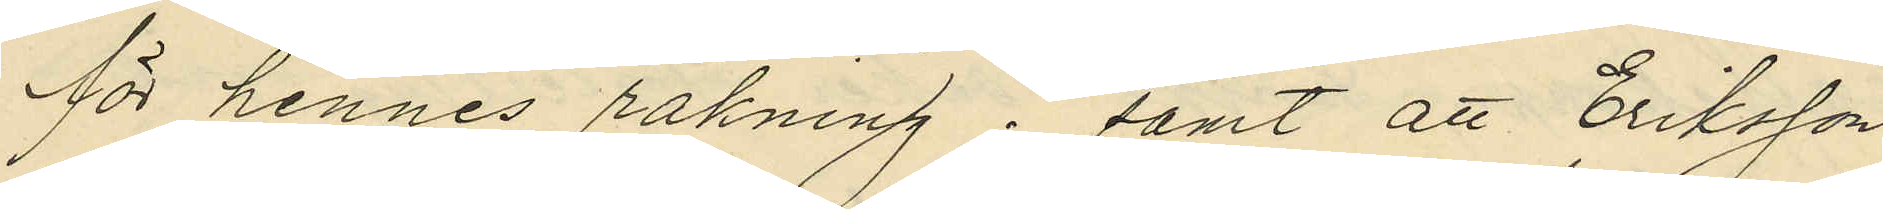för hennes räkning; samt att Eriksson
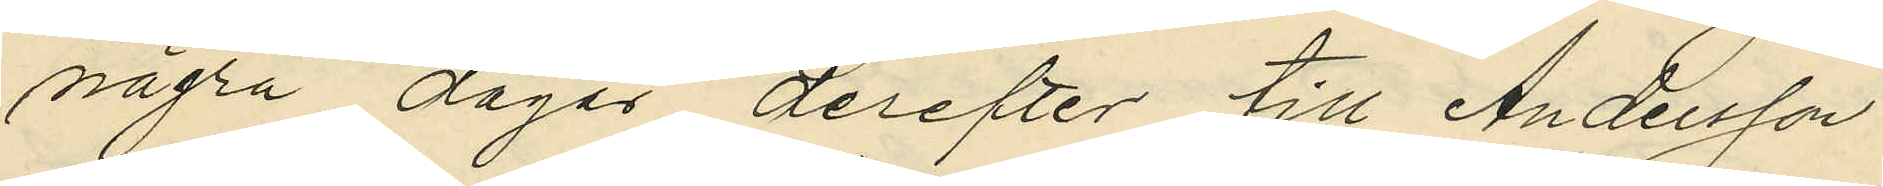några dagar derefter till Andersson
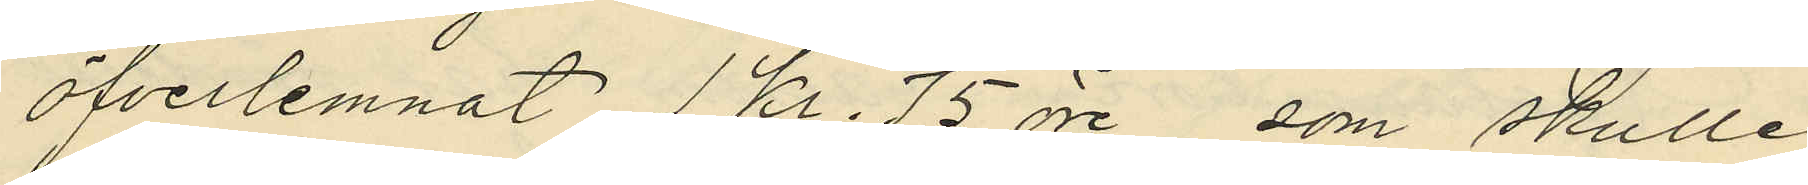öfverlemnat 1 kr. 75 öre, som skulle
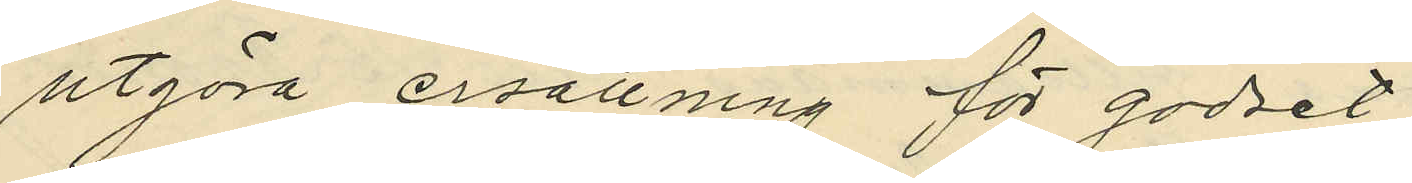utgöra ersättning för godset.
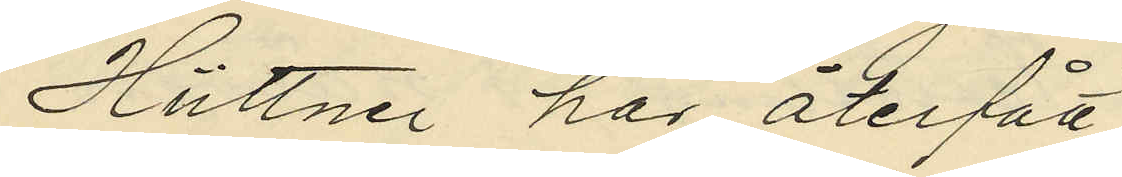Hüttner har återfått
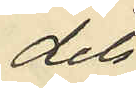dels
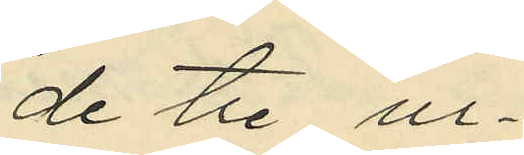de tre ur¬
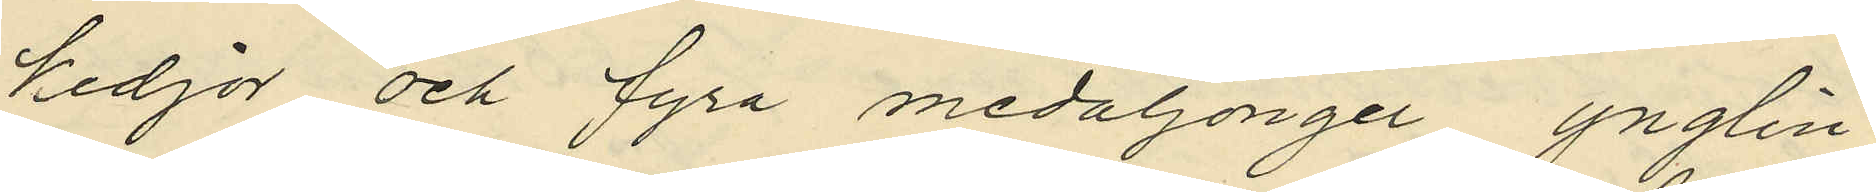kedjor och fyra medaljonger ynglin¬
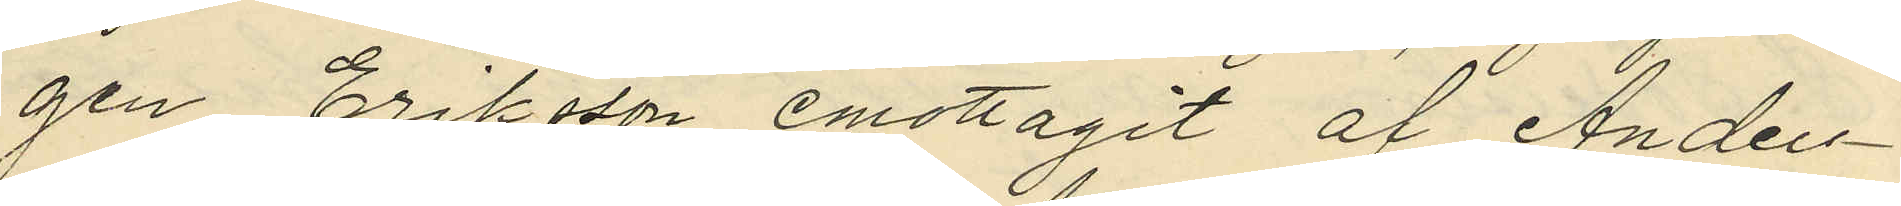gen Eriksson emottagit af Anders¬
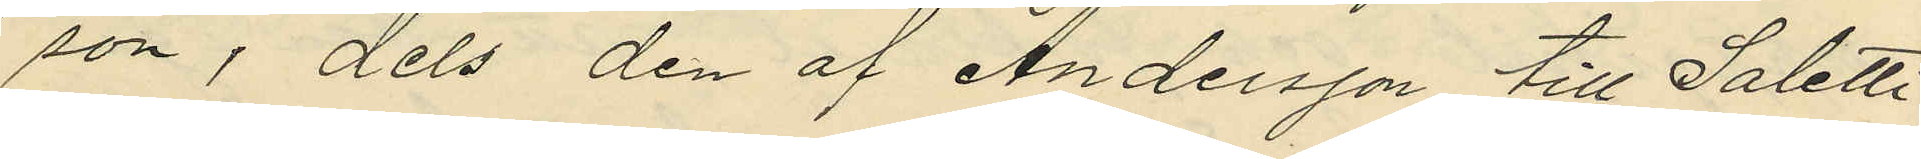son, dels den af Andersson till Saletti
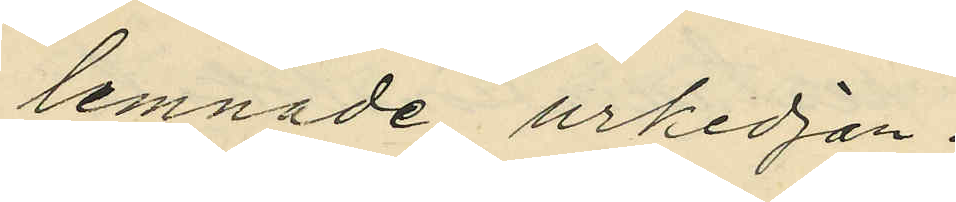lemnade urkedjan.
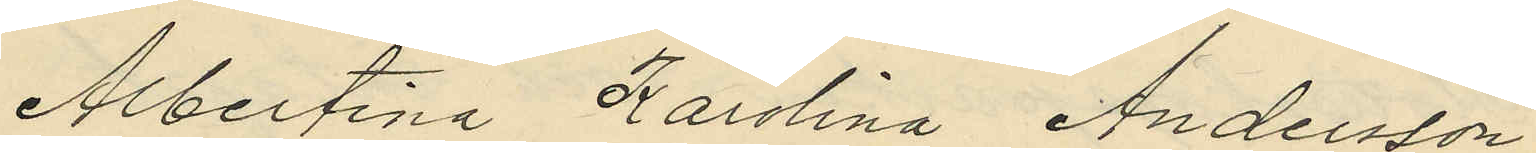Albertina Karolina Andersson
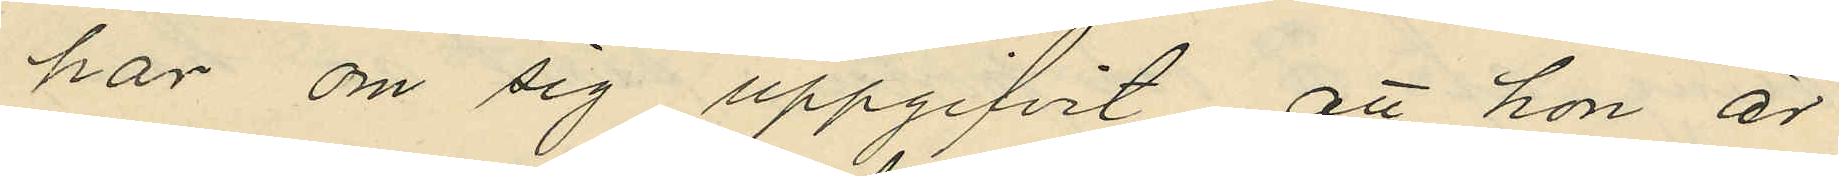har om sig uppgifvit, att hon är
